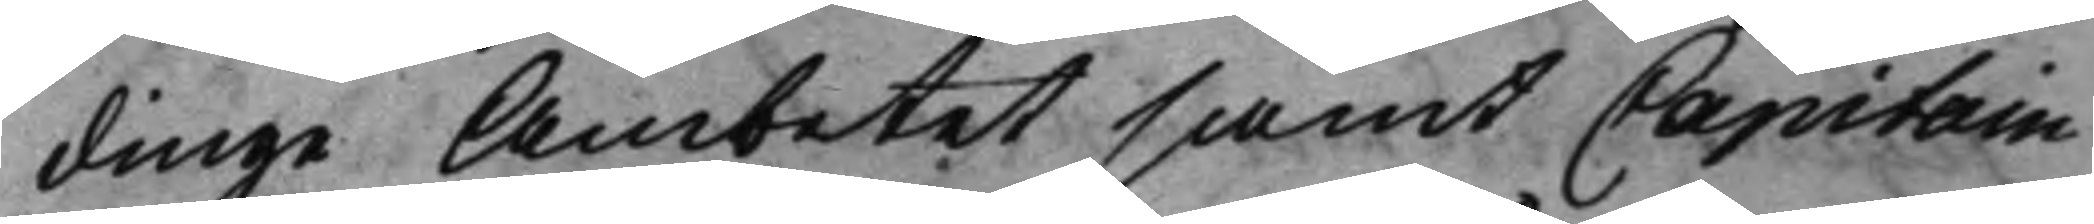dinge Ämbetet samt Capitain
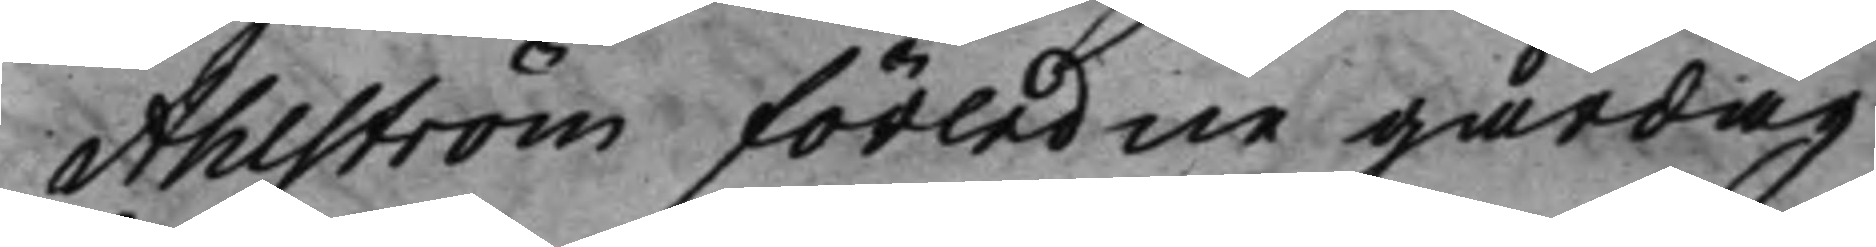Ahlström förledne gårdag
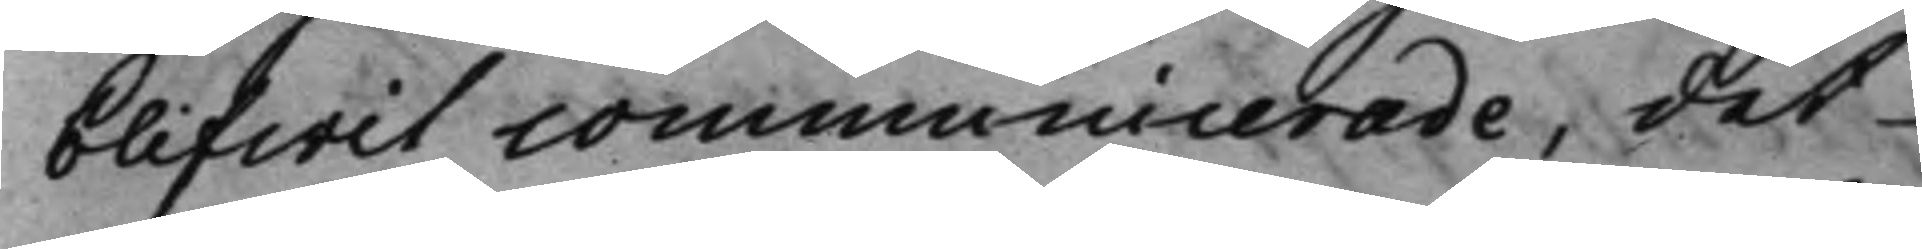blifwit communicerade, det
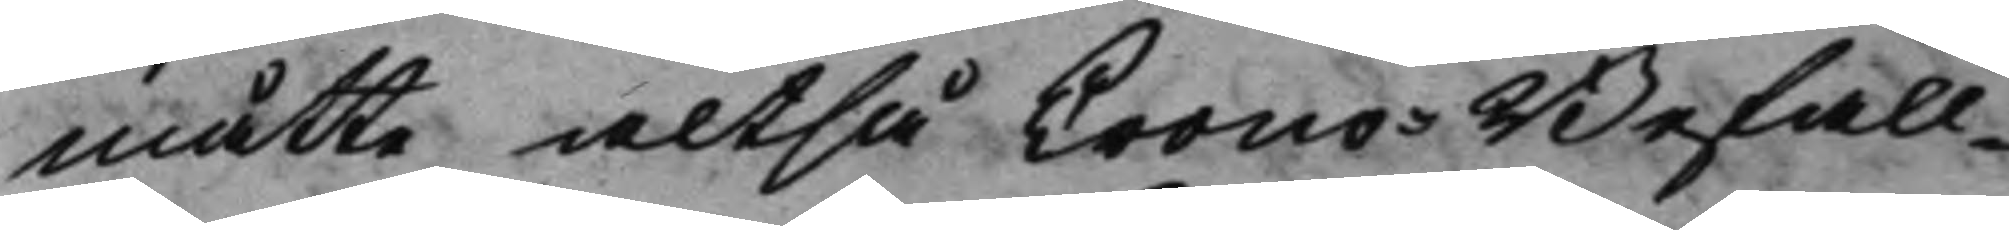måtte altså Crono-Befall¬
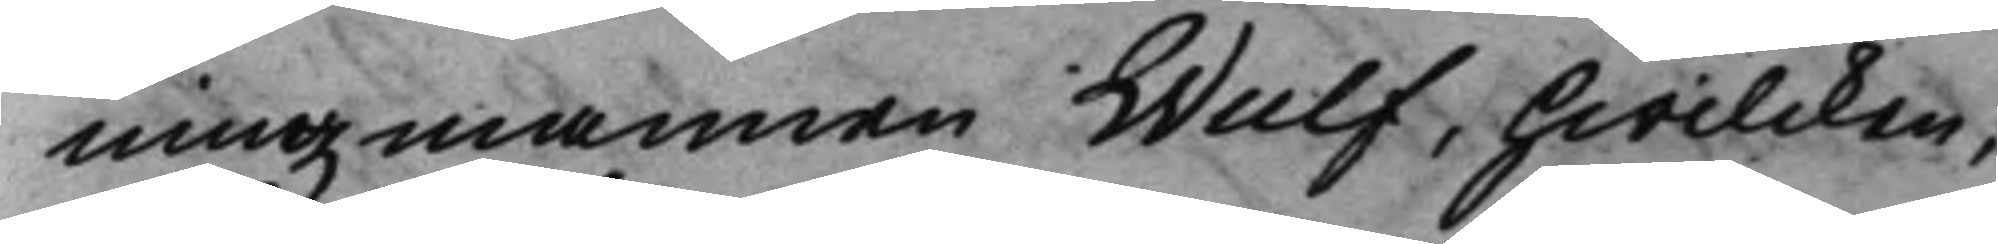ningzmannen Wulf, hwilcken,
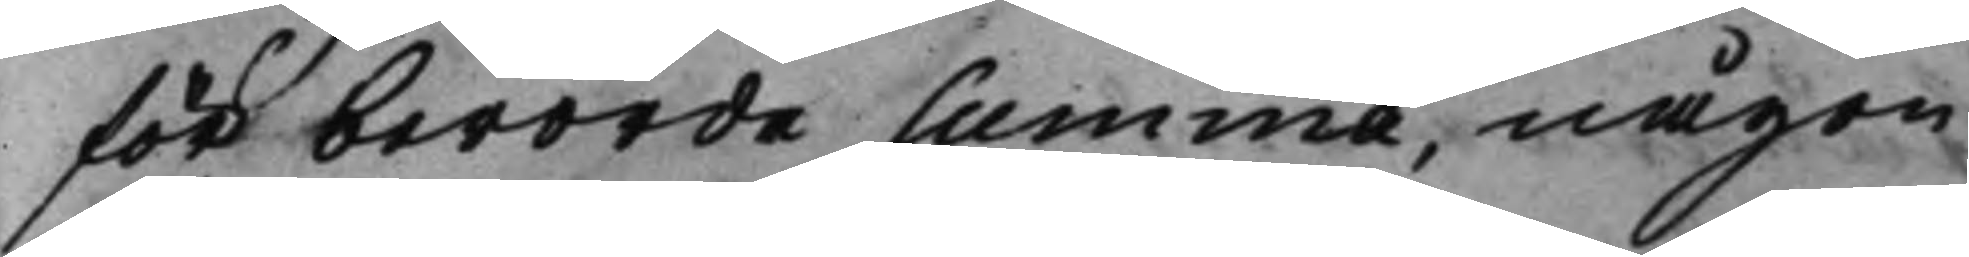för berörde Summa, någon
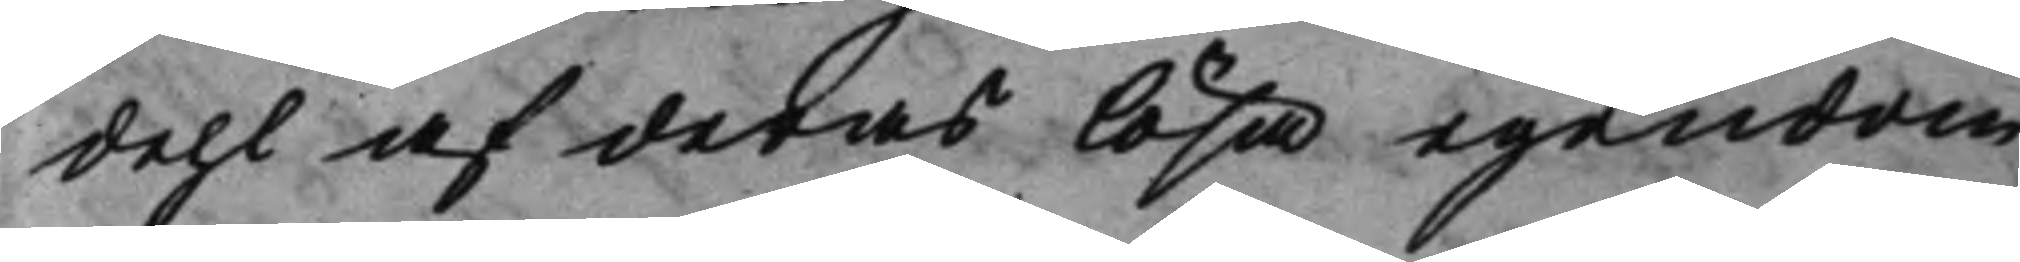dehl af deras lösa egendom
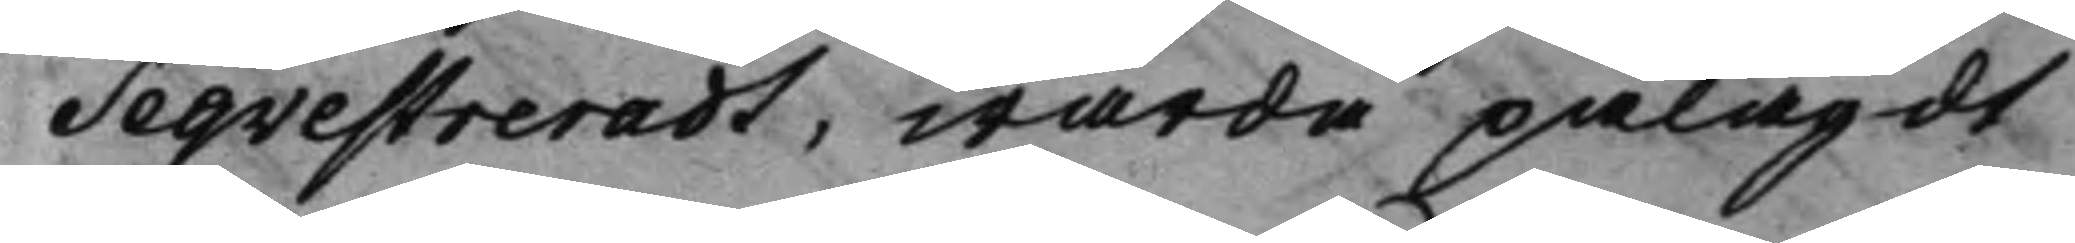Seqvestreradt, warda pålagdt
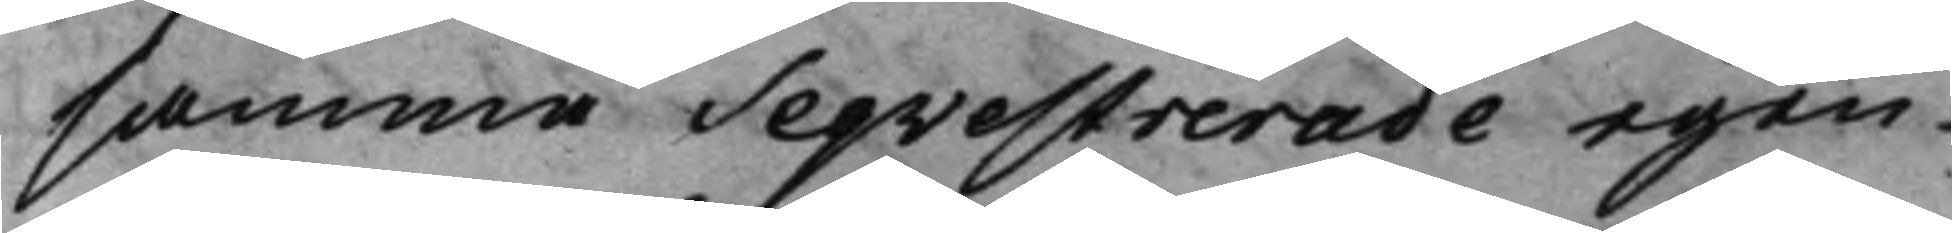samma Seqvestrerade egen¬
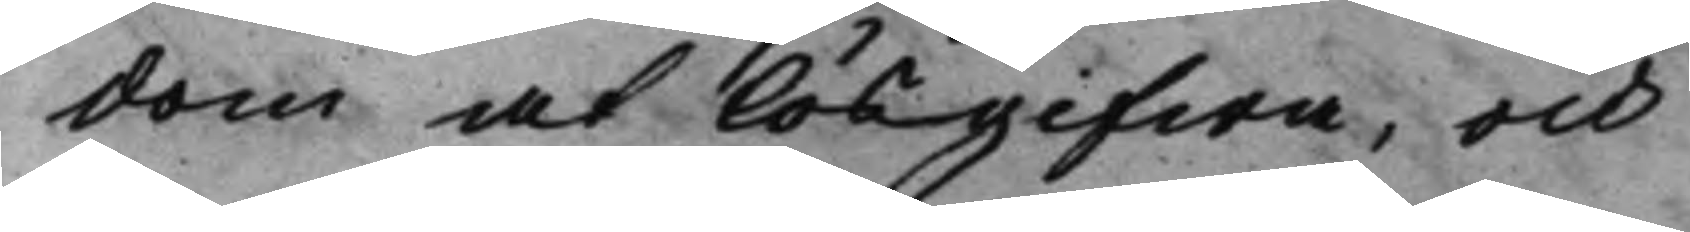dom at lösgifwa, och
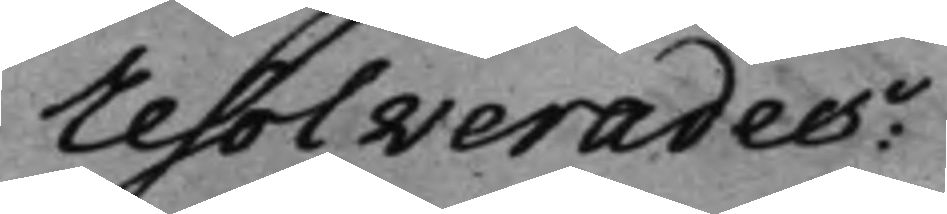resolverades:
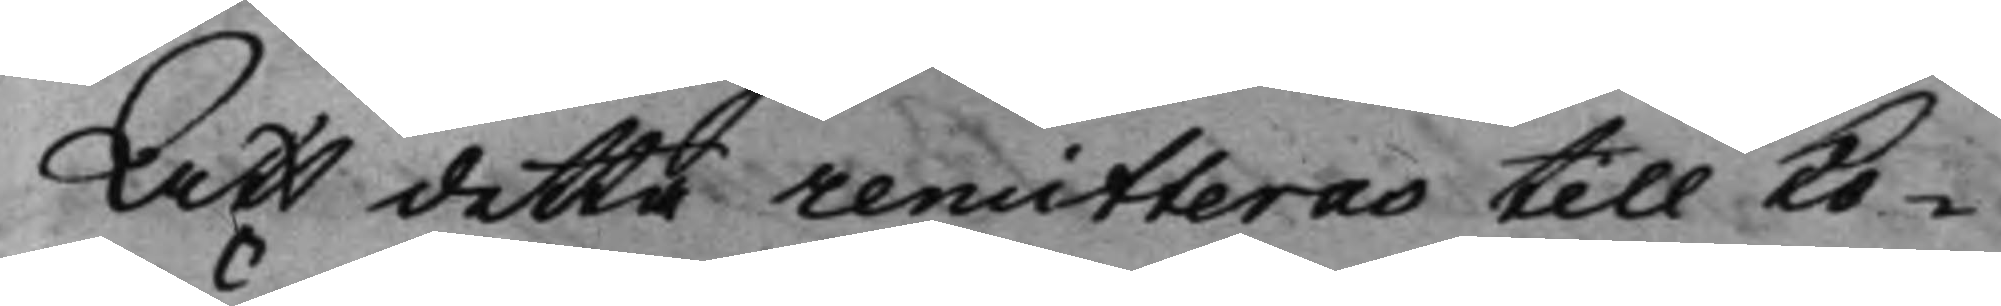Att detta remitteras till Ko¬
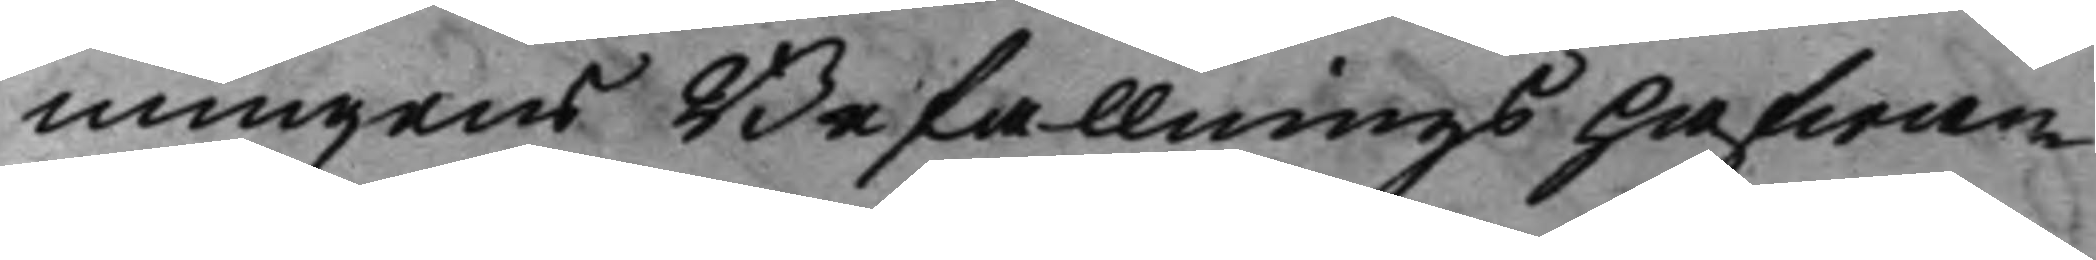nungens Befallningshafwan¬
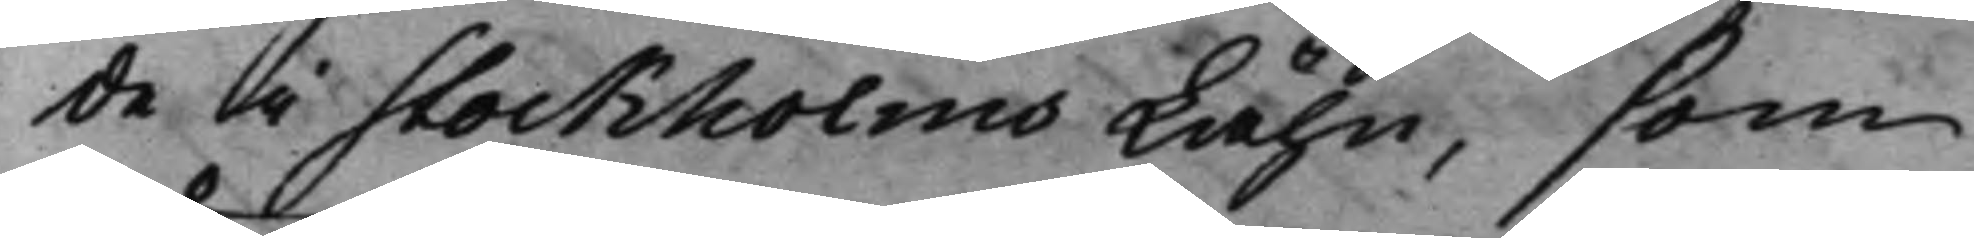de i Stockholms Lähn, som
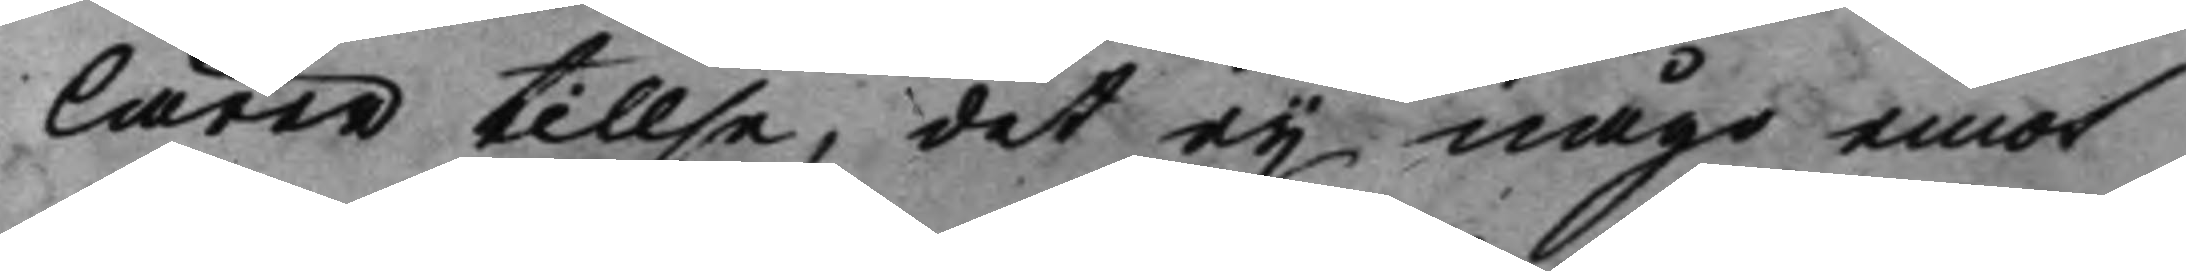lärer tillse, det eij måge emot
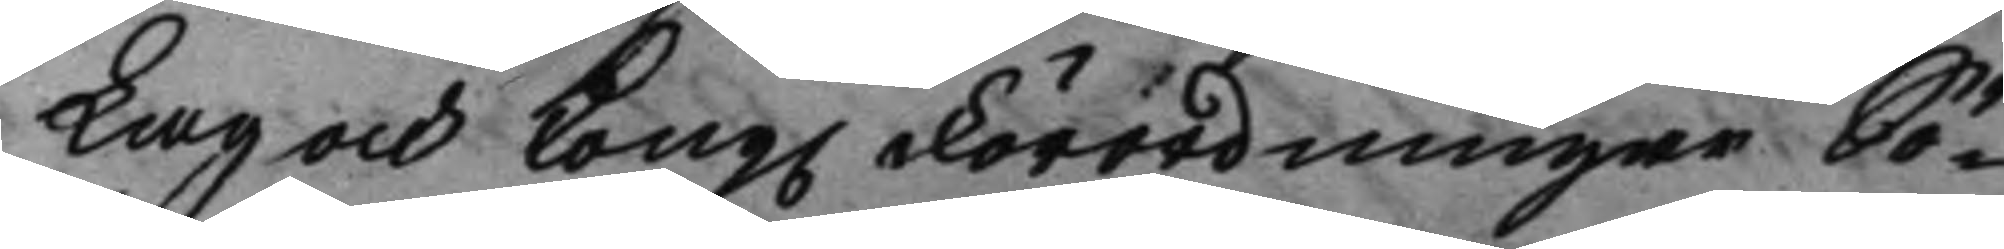Lag och Kong. Förordningar Sö¬ 
